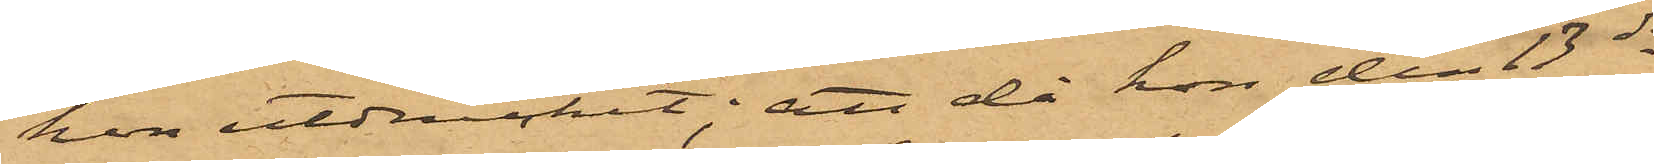hon utdruckit; att då hon den 13 ds
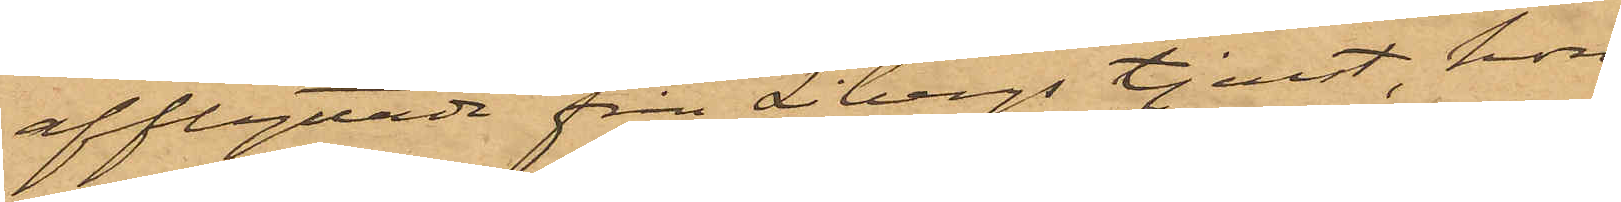afflyttade från Libergs tjenst, hon
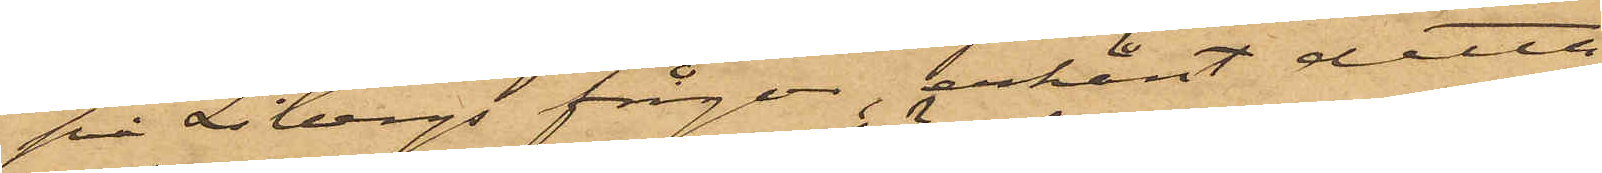på Libergs frågor, erkänt detta
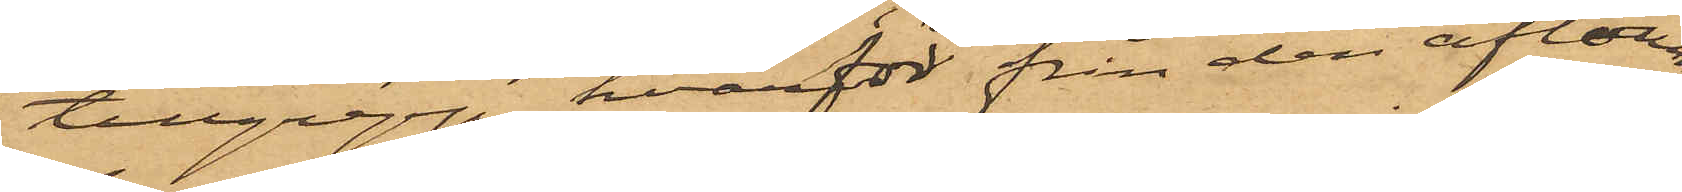tillgrepp, hvarför från den aflöning
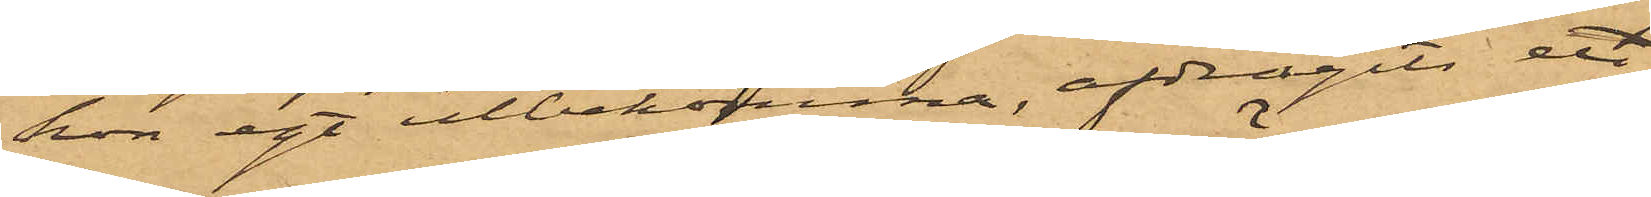hon egt utbekomma, afdragits ett
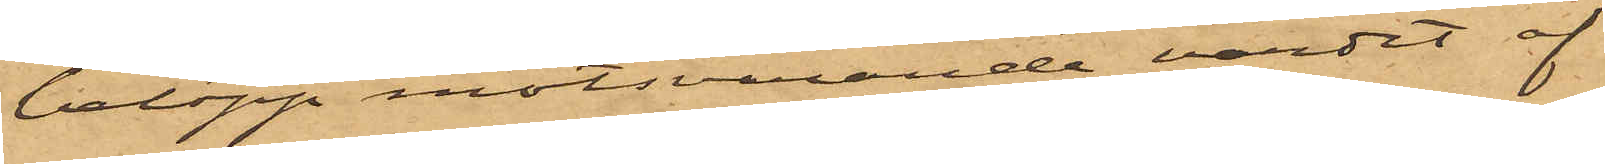belopp motsvarande värdet af
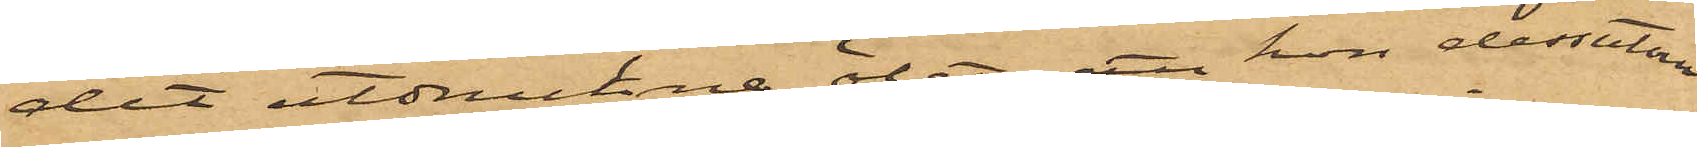det utdruckne ölet; att hon dessutom
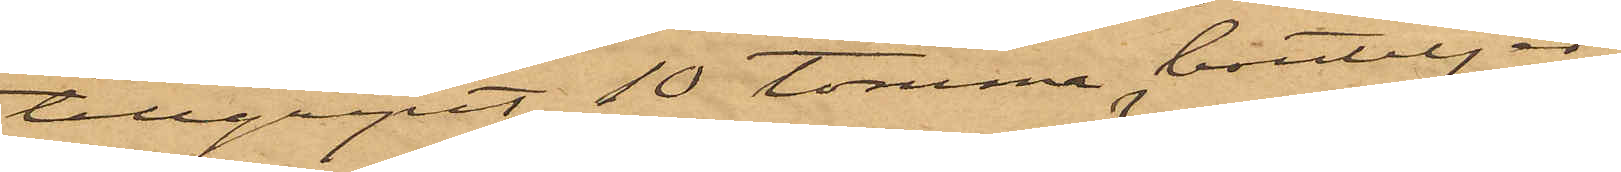tillgripit 10 tomma bouteljer,
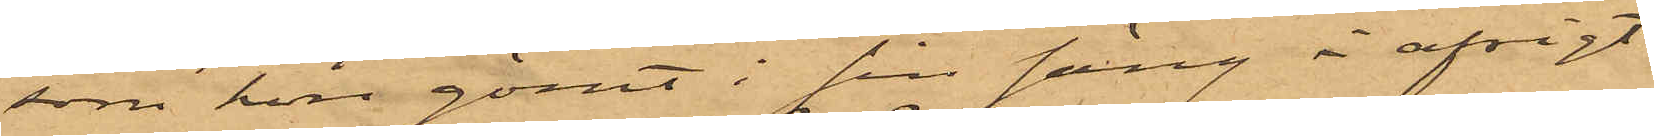som hon gömt i sin säng i afsigt
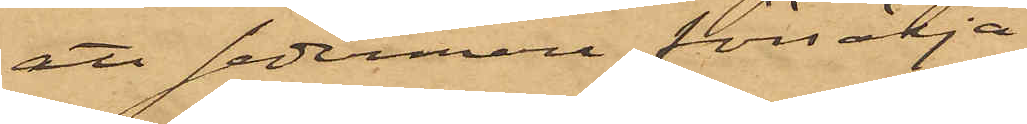att sedermera försälja;
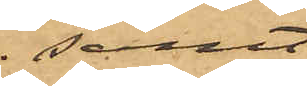samt
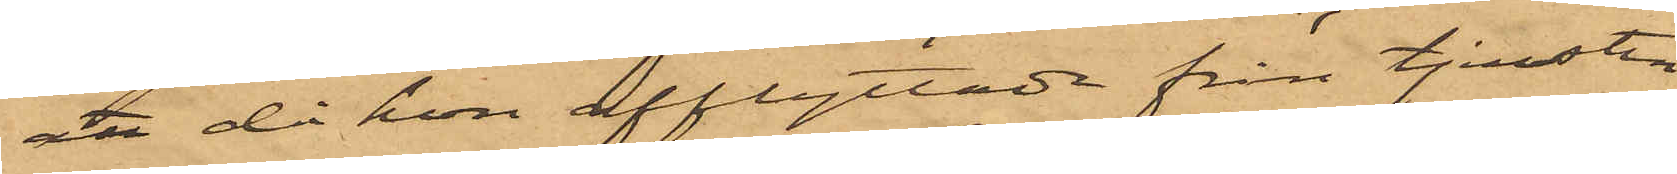att då hon afflyttade från tjensten
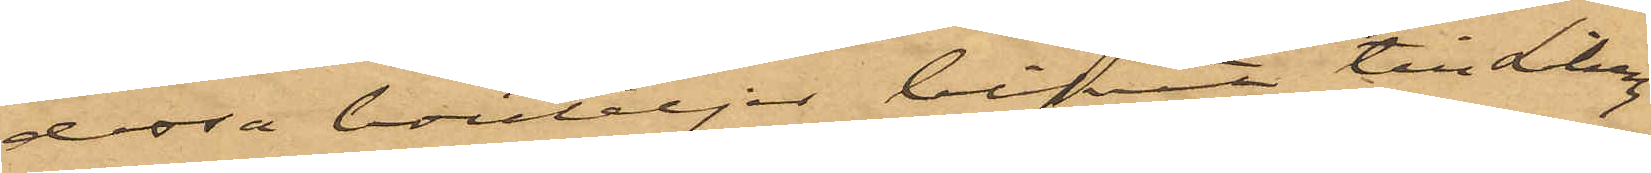dessa bouteljer blfvit till Liberg
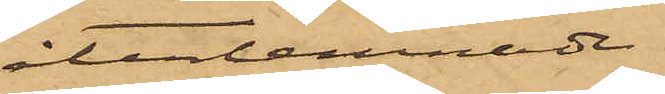återlemnade.
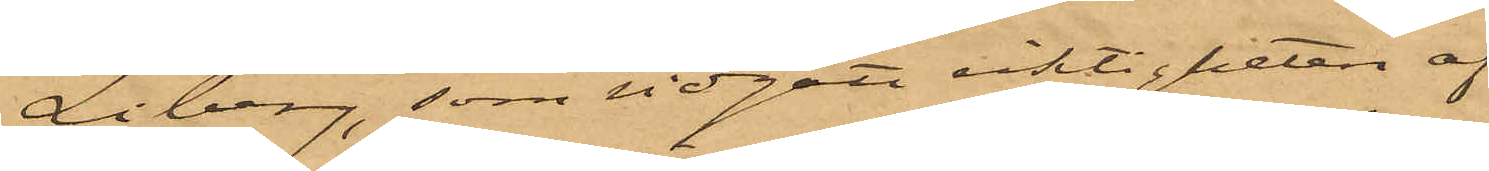Liberg, som vidgått riktigheten af
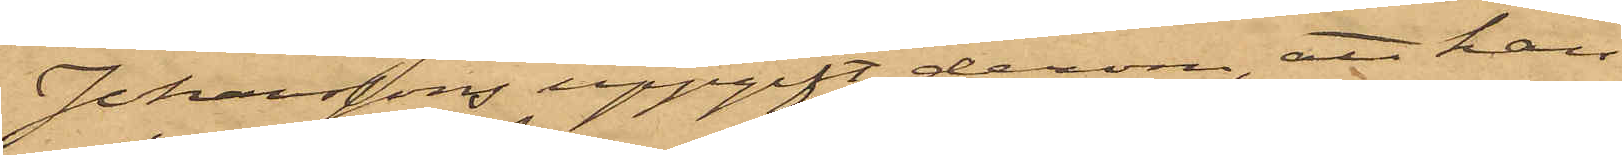Johanssons uppgift derom, att han
